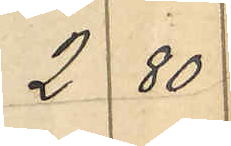2 80
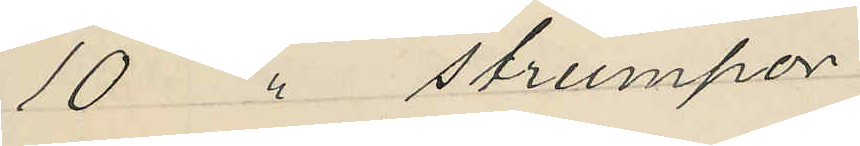10 " strumpor
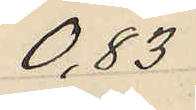0,83
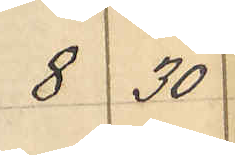8 30
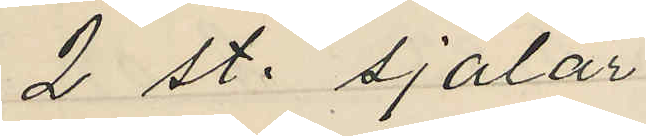2 st. sjalar
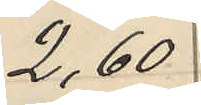2,60
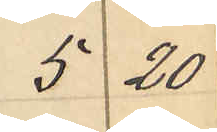5 20
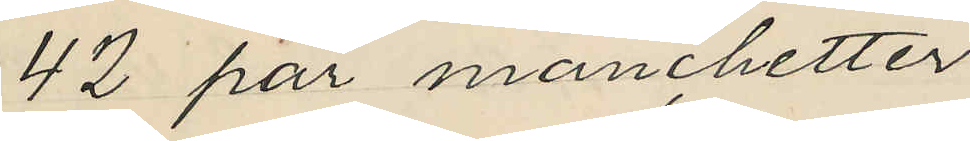42 par manchetter
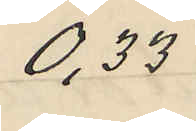0,33
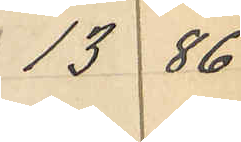13 86
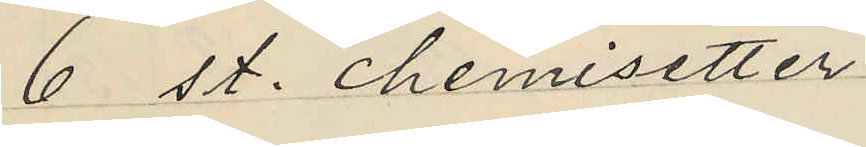6 st. chemisetter
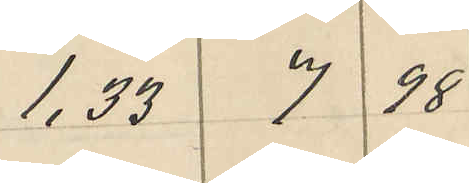1,33 7 98
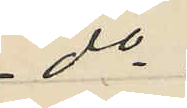do
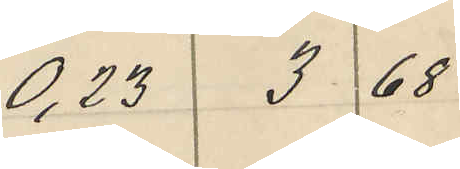0,23 3 68
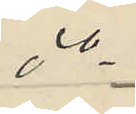do
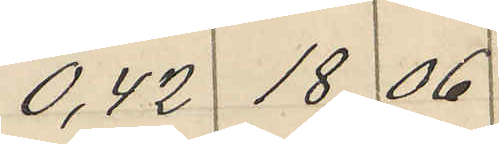0,42 18 06
